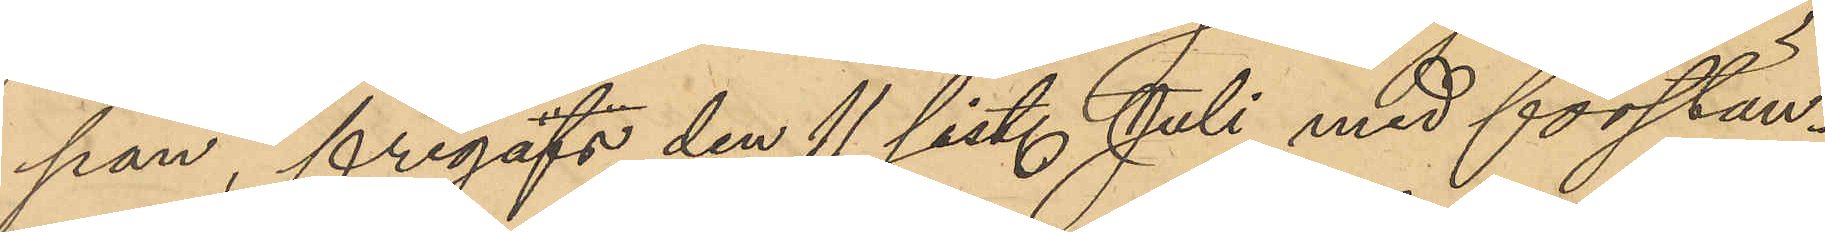pan, frigafs den 11 sist. Juli med förstän¬
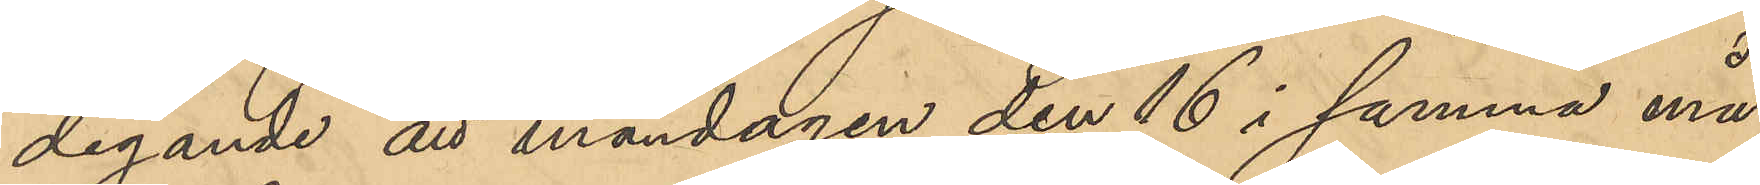digande att måndagen den 16 i samma må¬
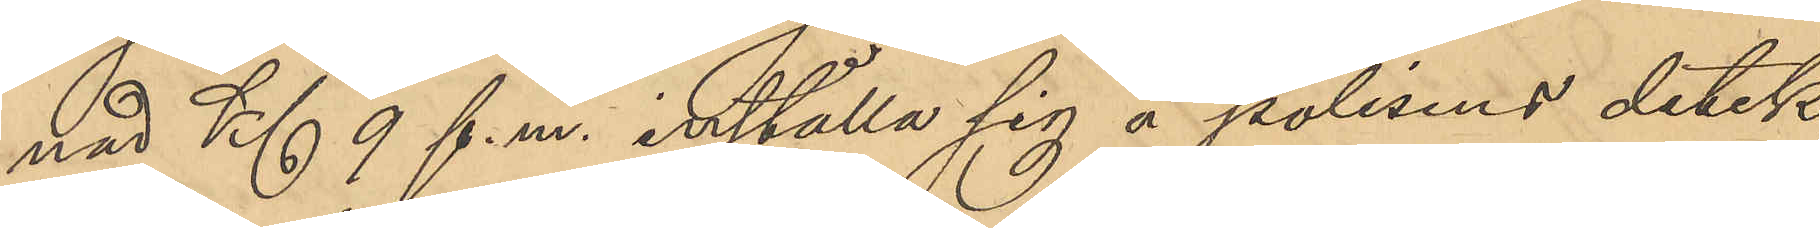nad Kl 9 f. m. inställa sig å polisens detek¬
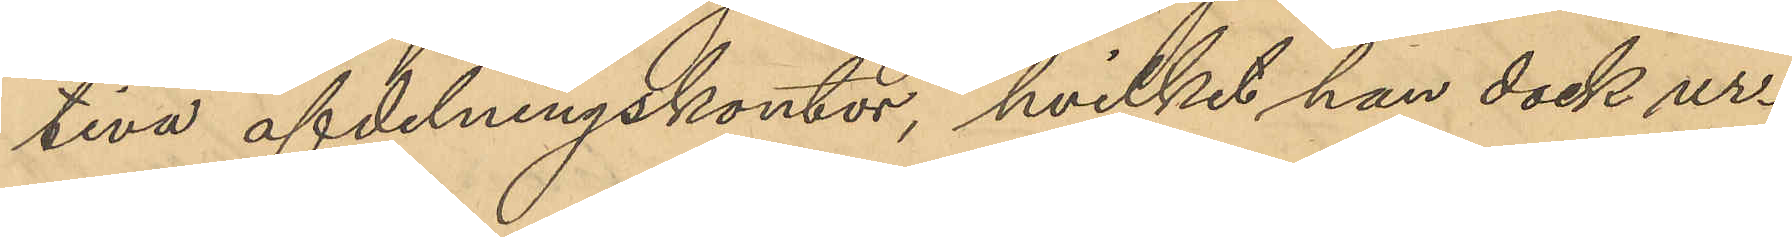tiva afdelningskontor, hvilket han dock ur¬
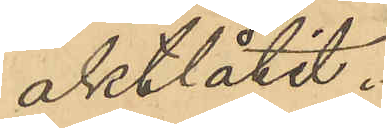aktlåtit.
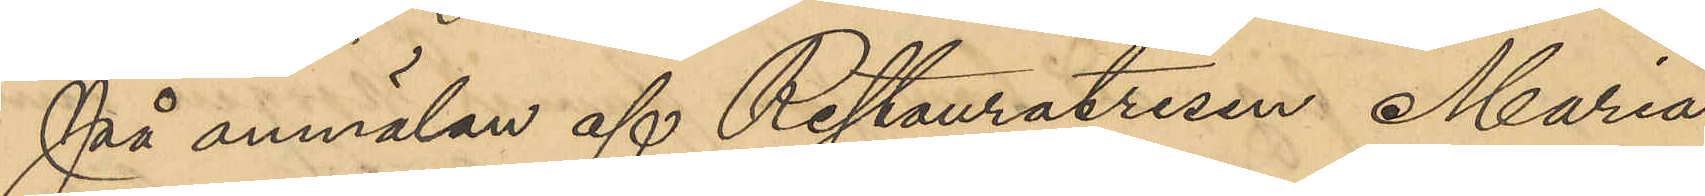På anmälan af Restauratrisen Maria
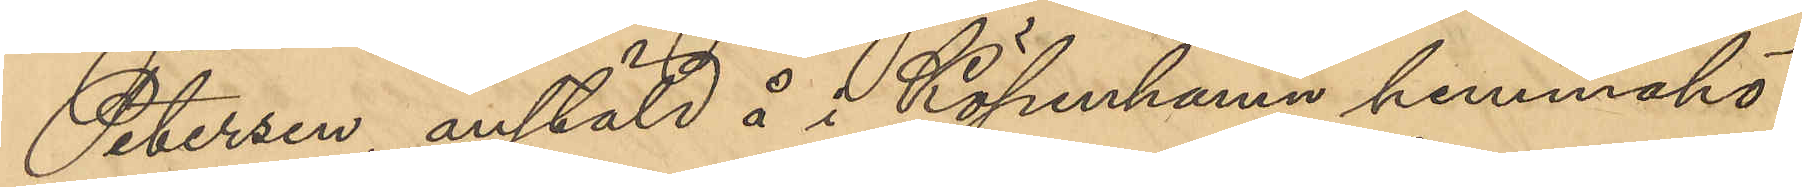Petersson, anstäld å i Köpenhamn hemmahö¬
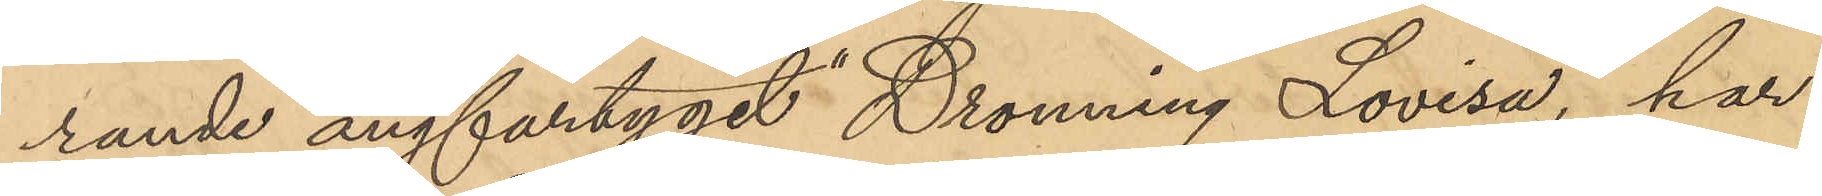rande ångfartyget "Dronning Lovisa", har
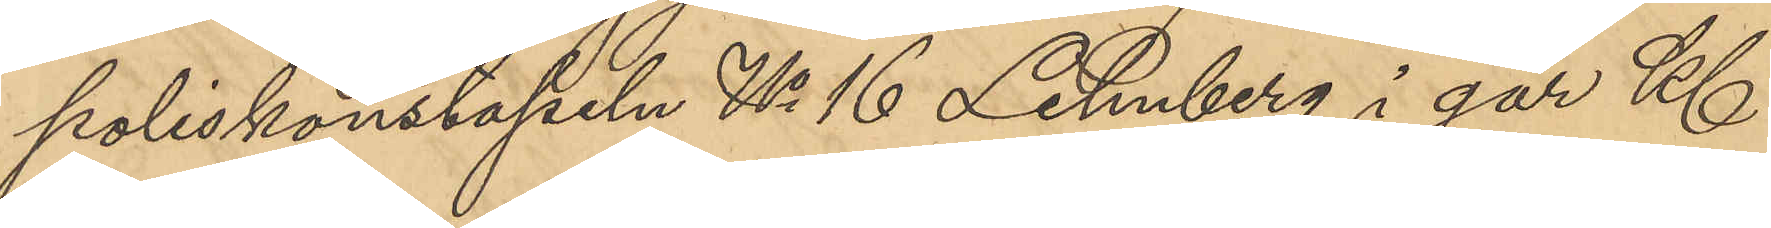poliskonstapeln No 16 Lehnberg i går Kl
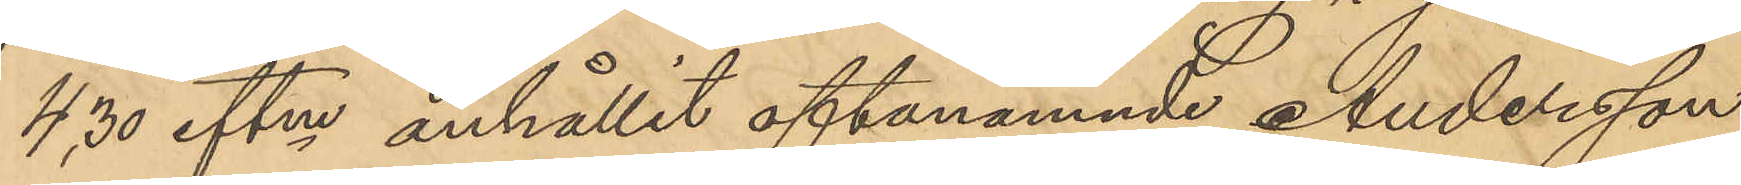4,30 eftmn anhållit oftanämnde Andersson
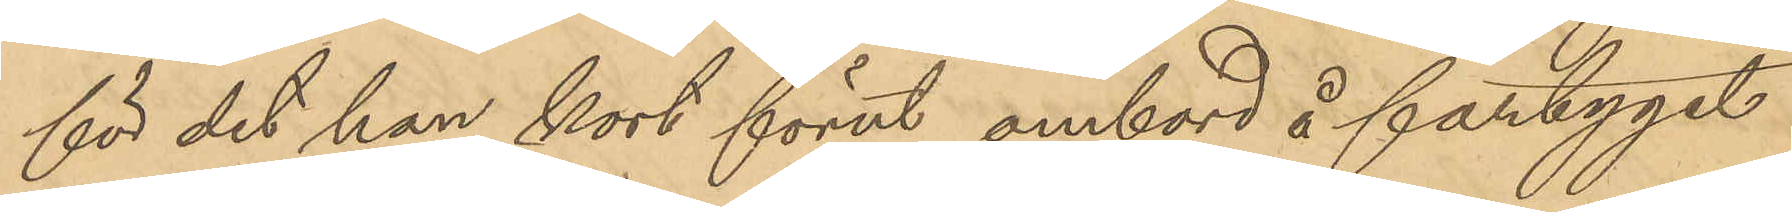för det han kort förut ombord å fartyget
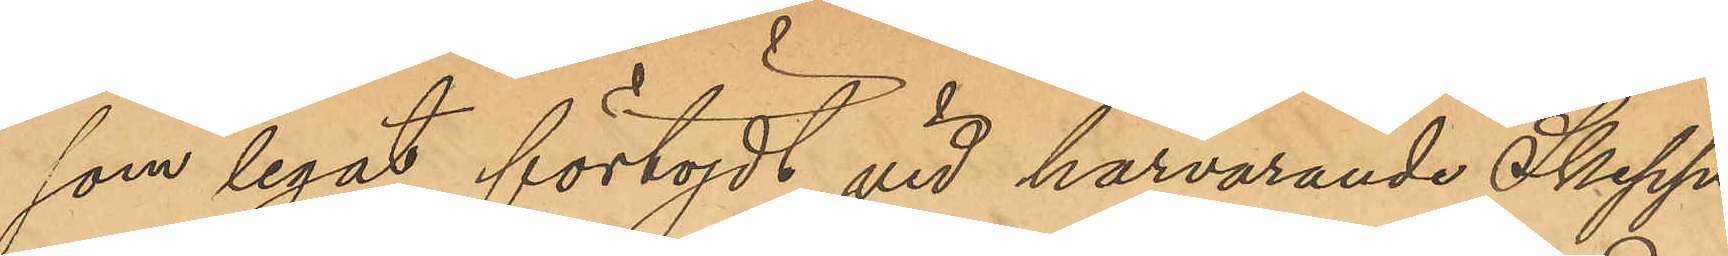som legat förtöjdt vid härvarande Skepps¬
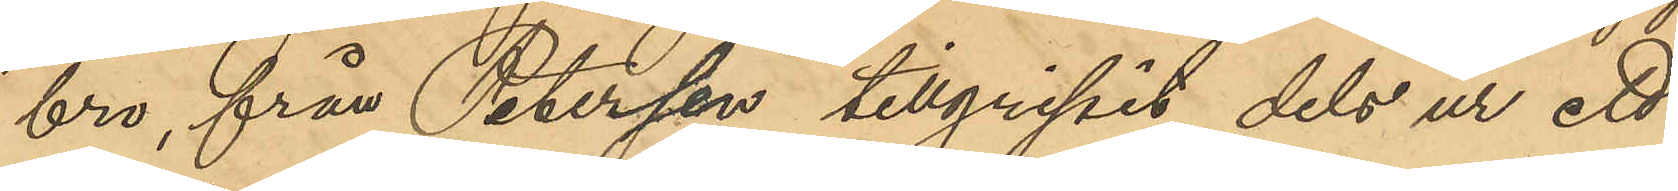bro, från Petersson tillgripit dels ur ett
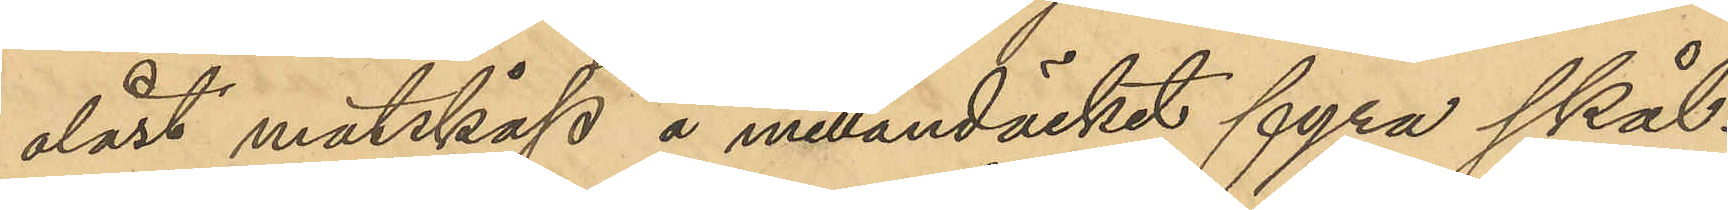olåst matskåp å mellandäcket fyra skål¬
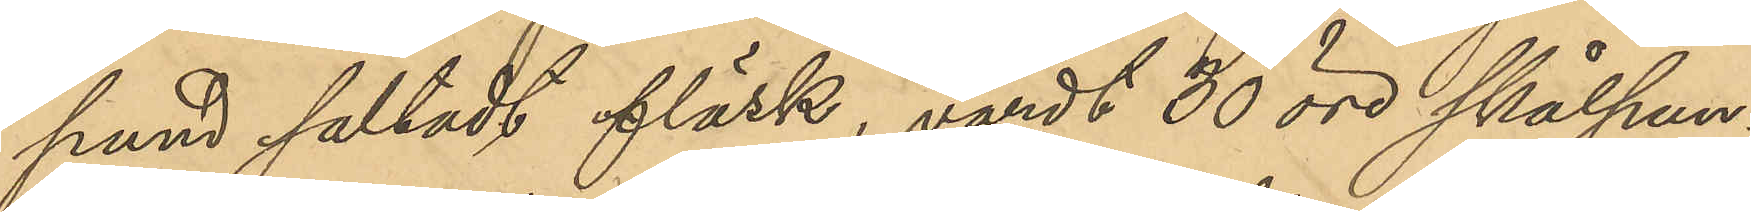pund saltadt fläsk, värdt 30 öre skålpun¬
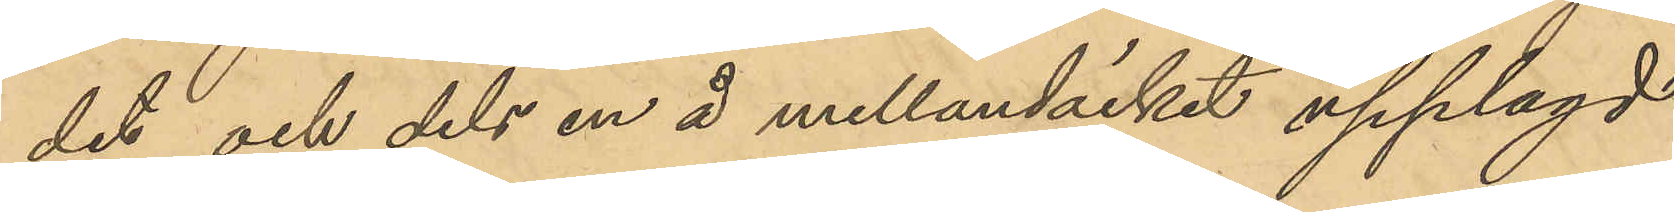det och dels en å mellandäcket upplagd
